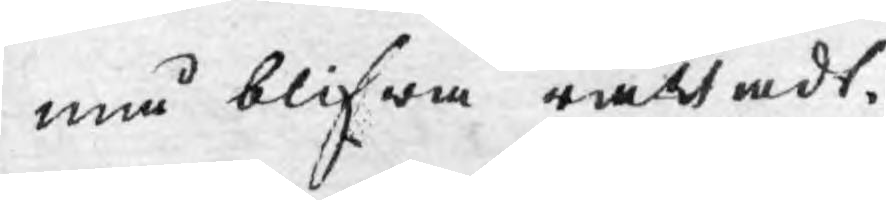må blifwa rättadt.
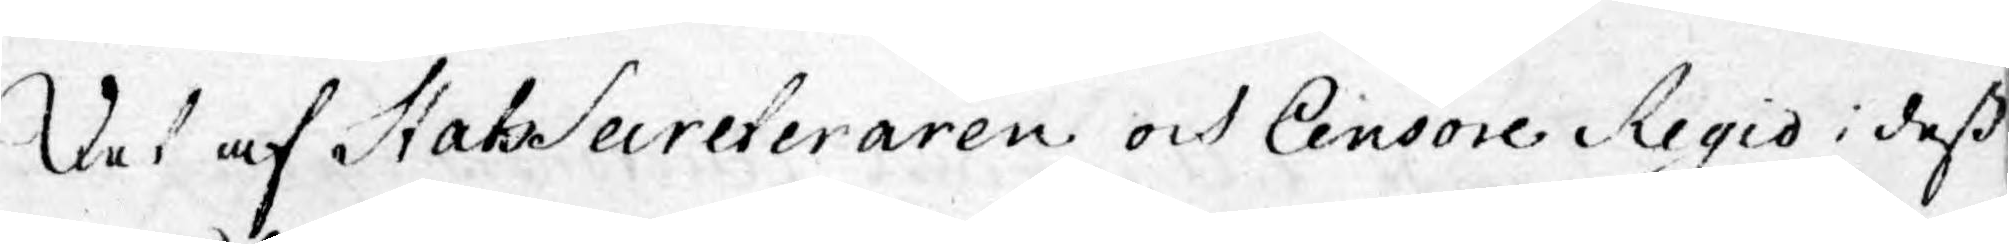Det af StatSecreteraren och Censore Regio i dess
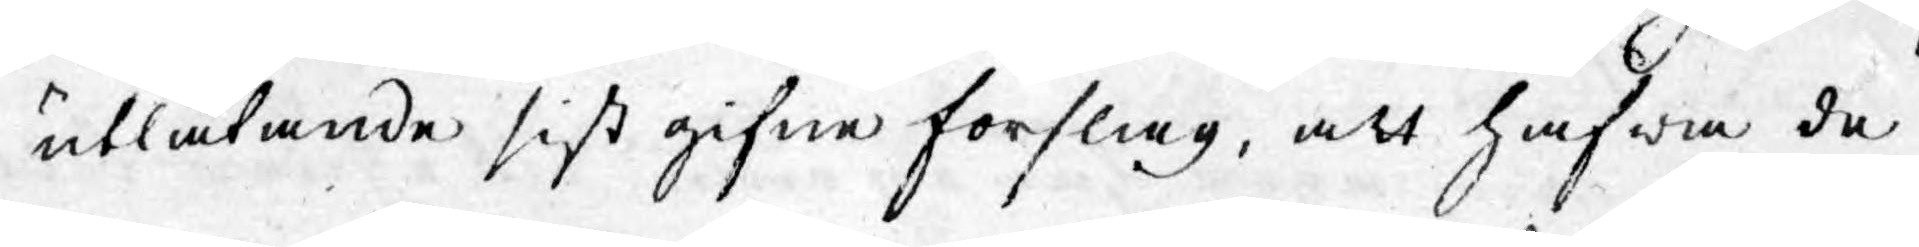utlåtande sist gifne förslag, att hafwa de
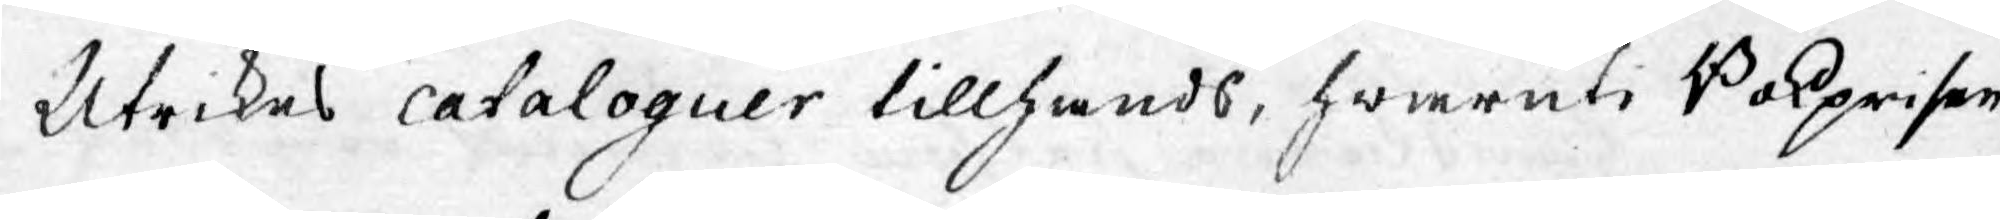Utrikes cataloguer tillhands, hwaruti Bokprisen
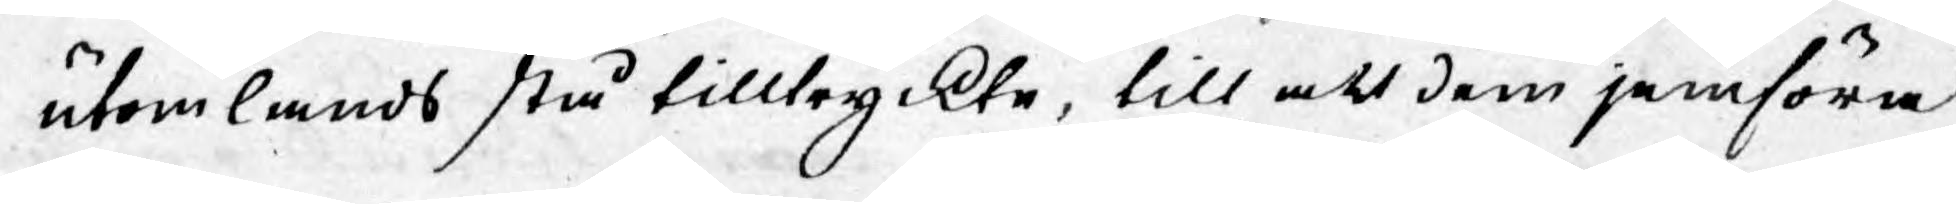utomlands stå tilltryckte, till att dem jemföra
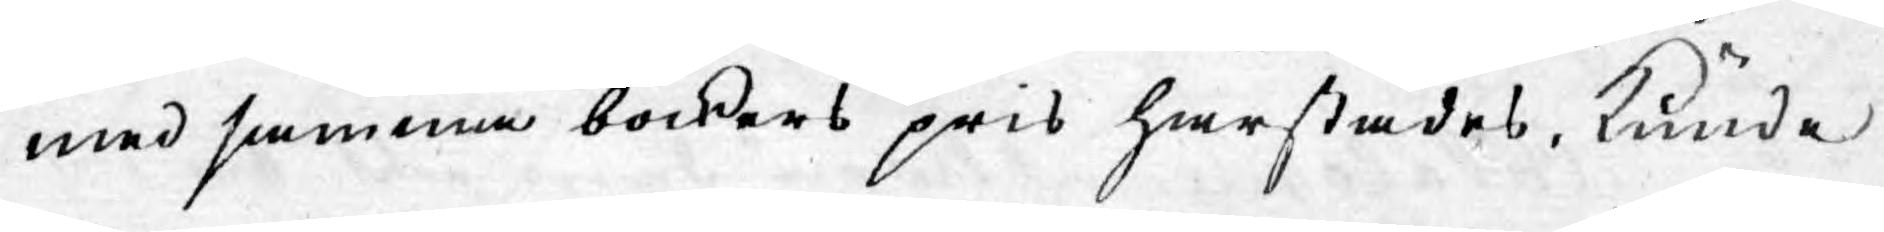med samma böckers pris härstädes, kunde
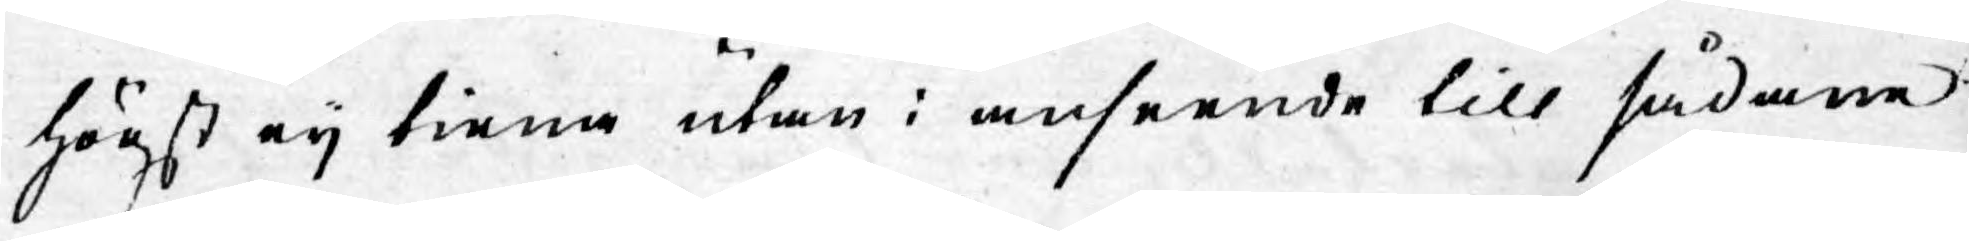högst eij tiena utan i anseende till sådane
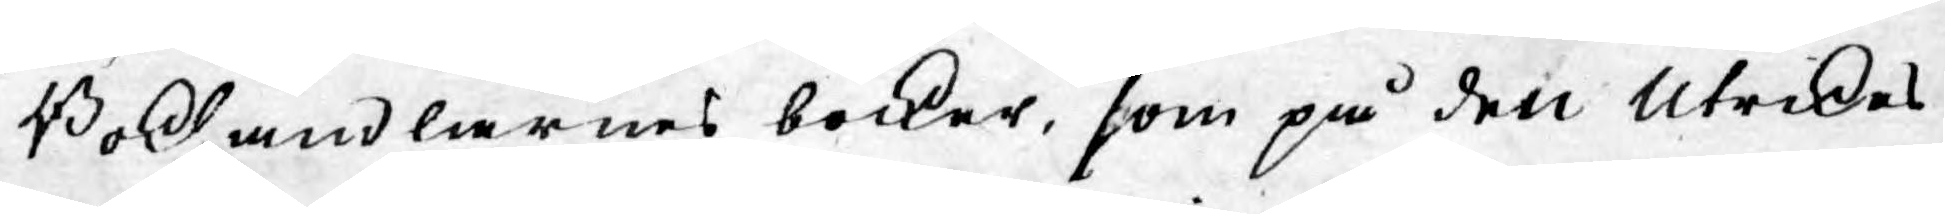Bokhandlares böcker, som på den Utrikes
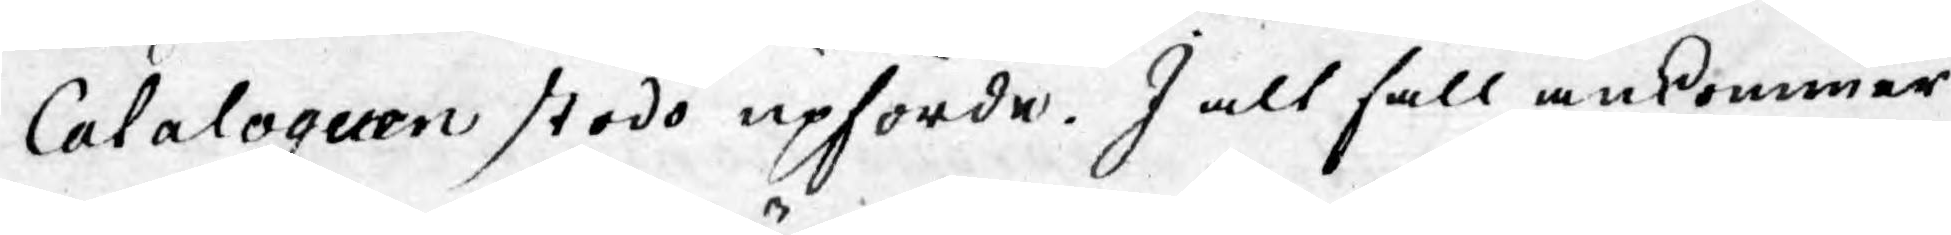Cataloguen stodo upförde. I alt fall ankommer
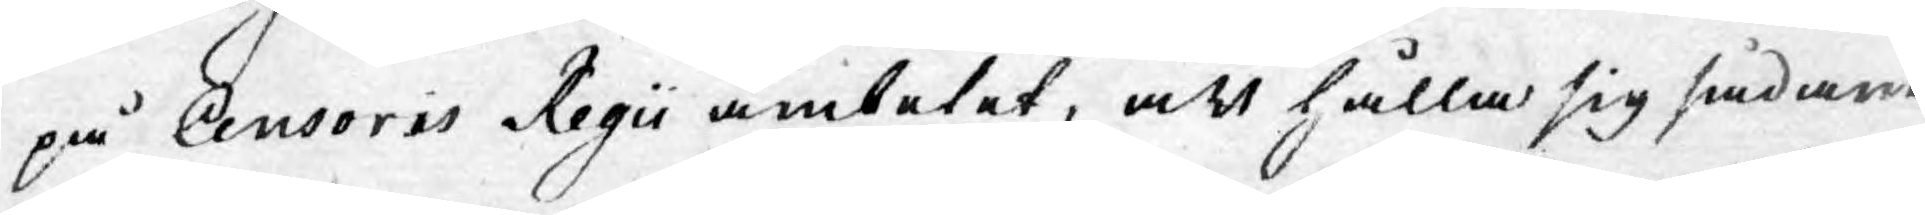på Censoris Regii ämbetet, att hålla sig sådane
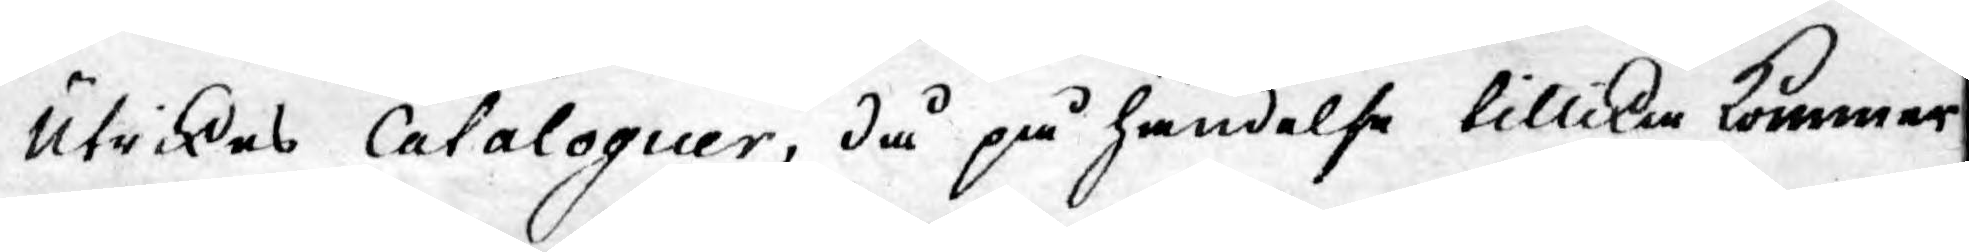Utrikes Cataloguer, då på händelse tillika kommer
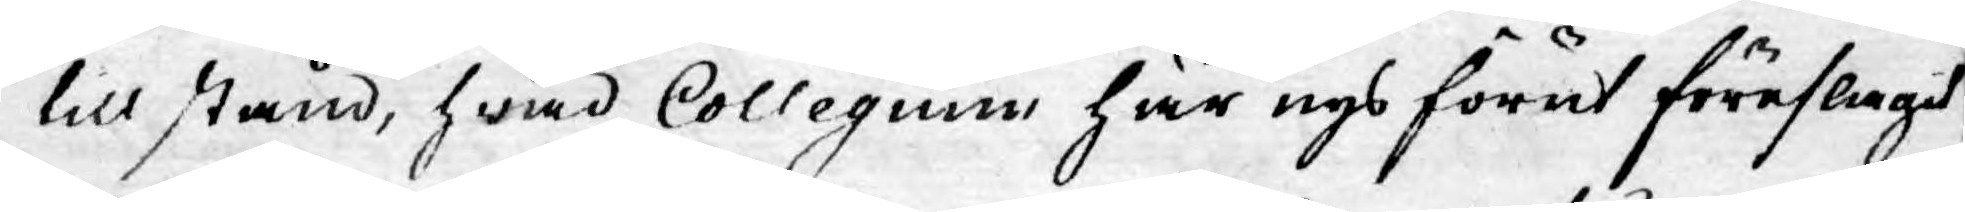till stånd, hwad Collegium här nys förut föreslagit
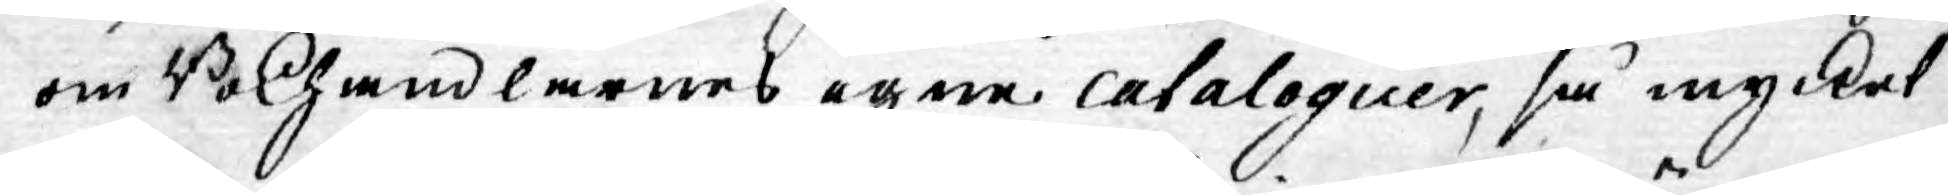om Bokhandlarnes egne cataloguer, så mycket
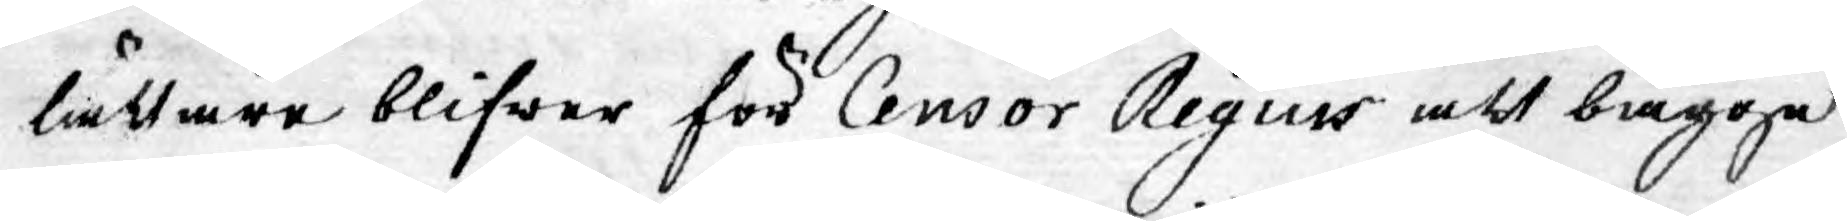lättare blifwer för Censor Regius att bägge
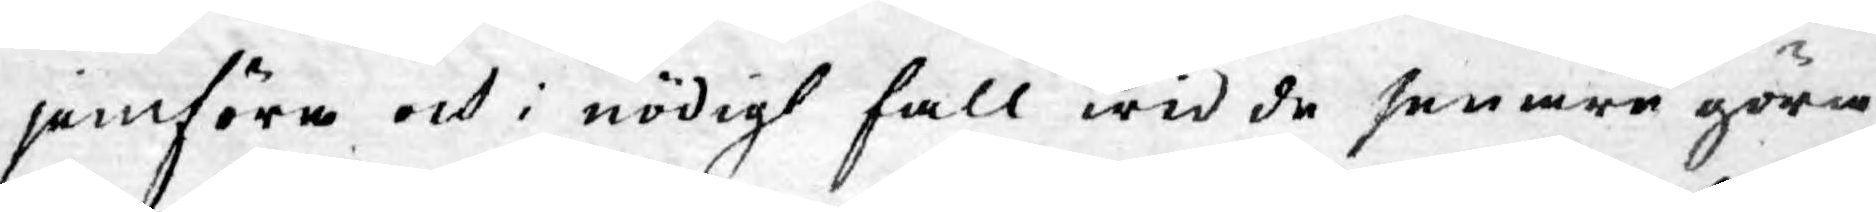jemföra och i nödigt fall wid de senare göra
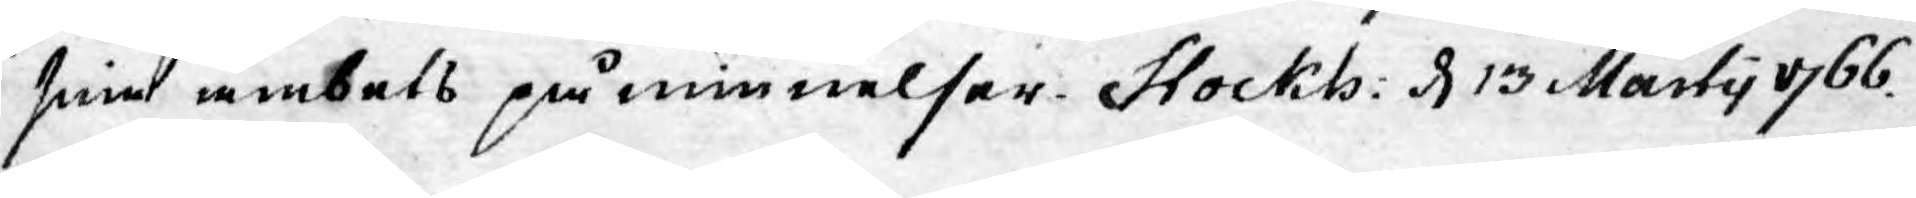sine ämbets påminnelser. Stockh: d 13 Martii 1766.
